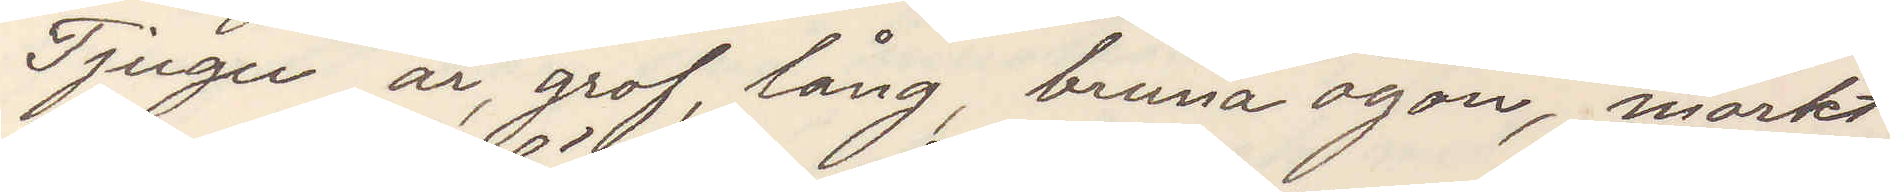Tjugu år, grof, lång, bruna ögon, mörkt
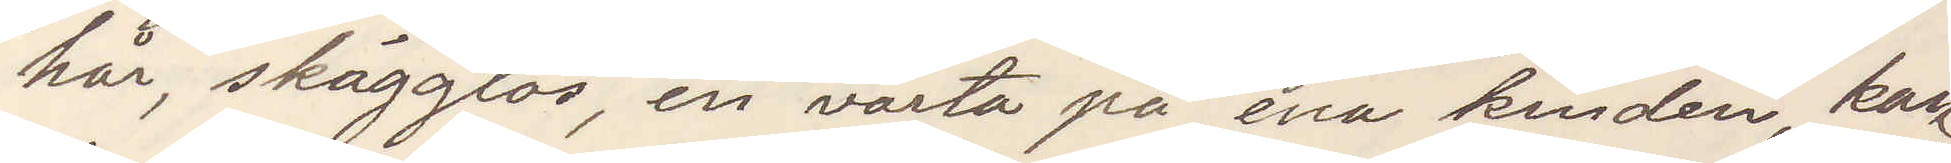hår, skägglös, en vårta på ena kinden, kan
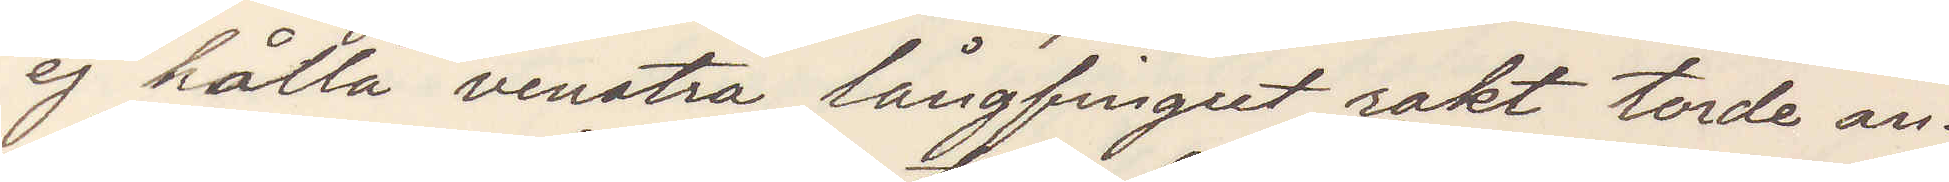ej hålla venstra långfingret rakt torde an¬
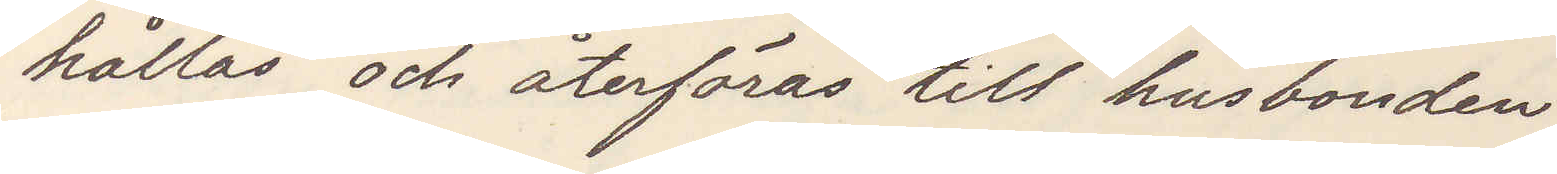hållas och återföras till husbonden.
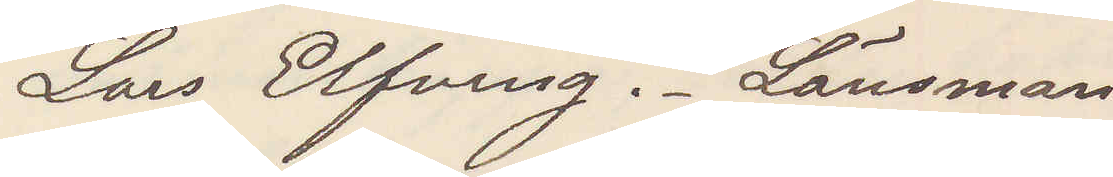Lars Elfving. Länsman
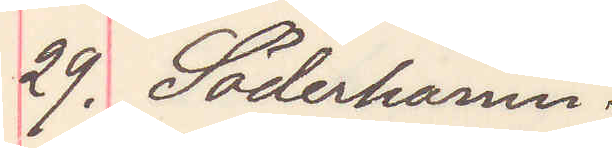29. Söderhamn
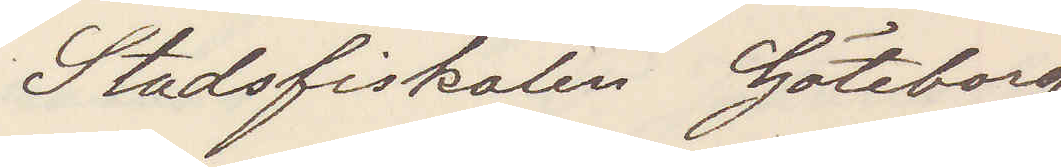Stadsfiskalen Göteborg
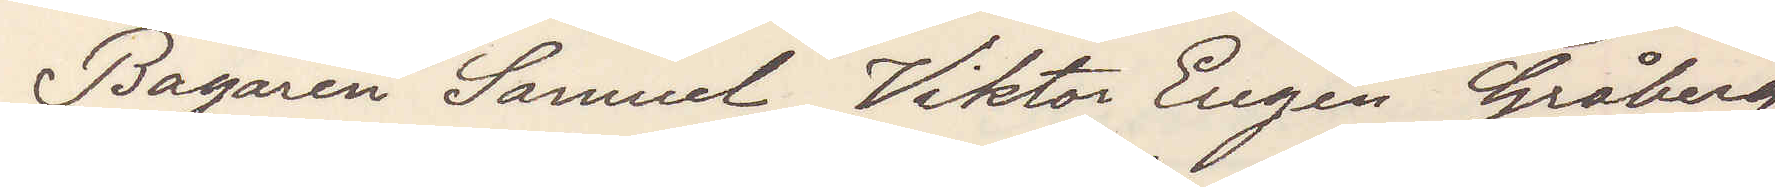Bagaren Samuel Viktor Eugen Gråberg
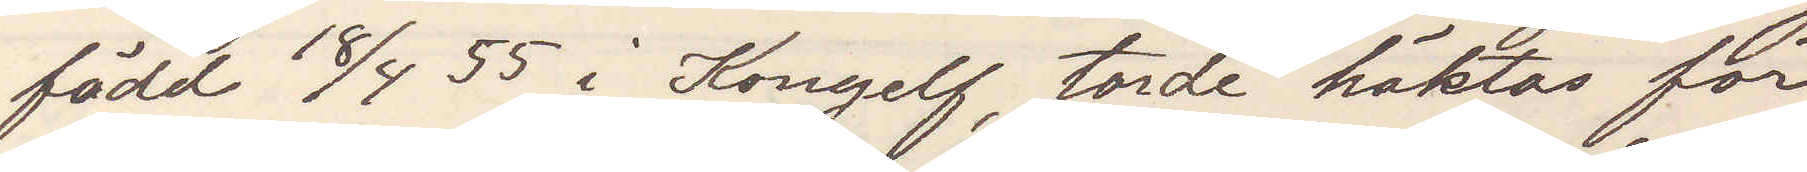född 18/4 55 i Kongelf, torde häktas för
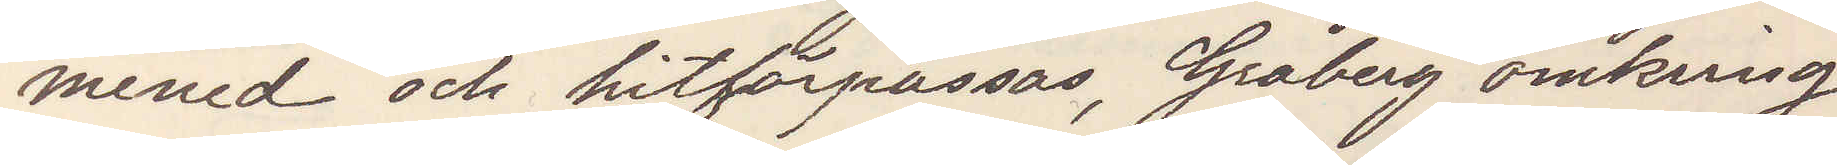mened och hitförpassas, Gråberg omkring
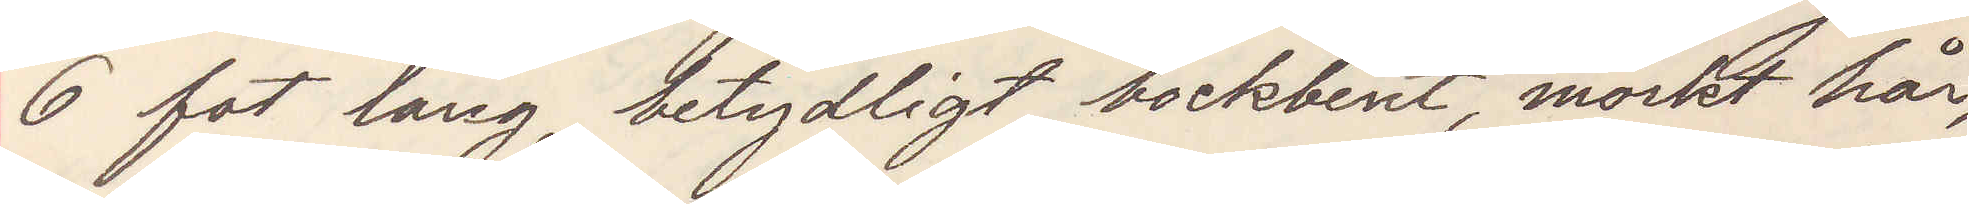6 fot lång, betydligt bockbent, mörkt hår
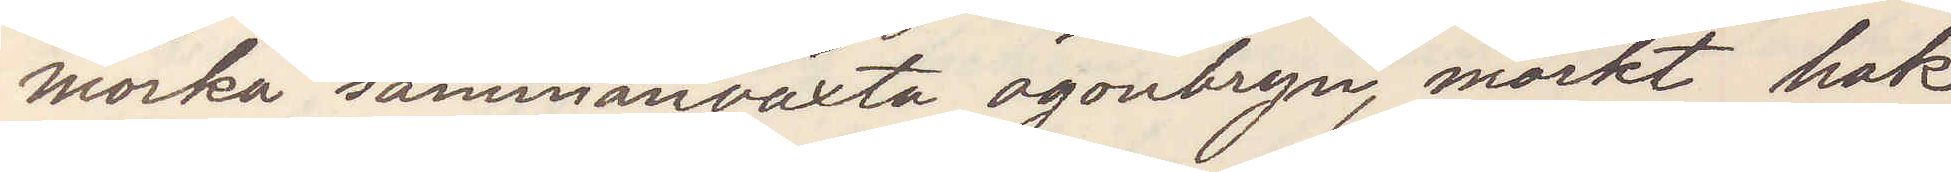mörka sammanväxta ögonbryn, mörkt hak¬
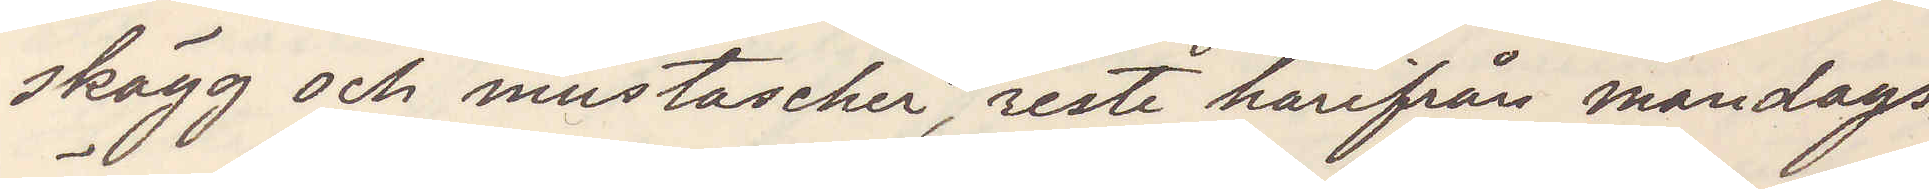skägg och mustascher, reste härifrån måndags
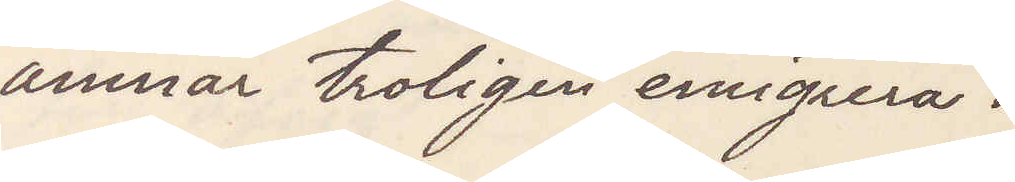ämnar troligen emigrera.
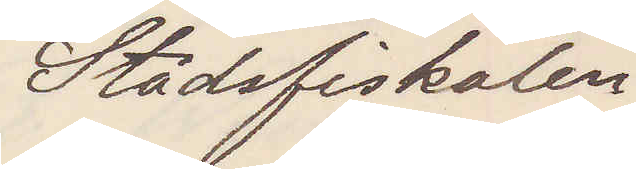Stadsfiskalen
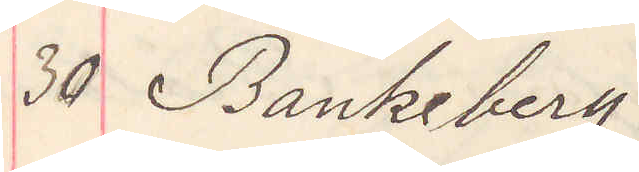30 Bankeberg
